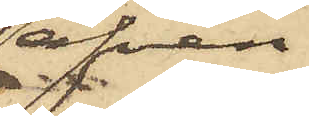äfven
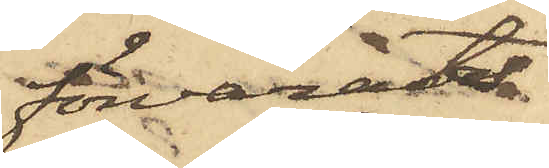förvarats
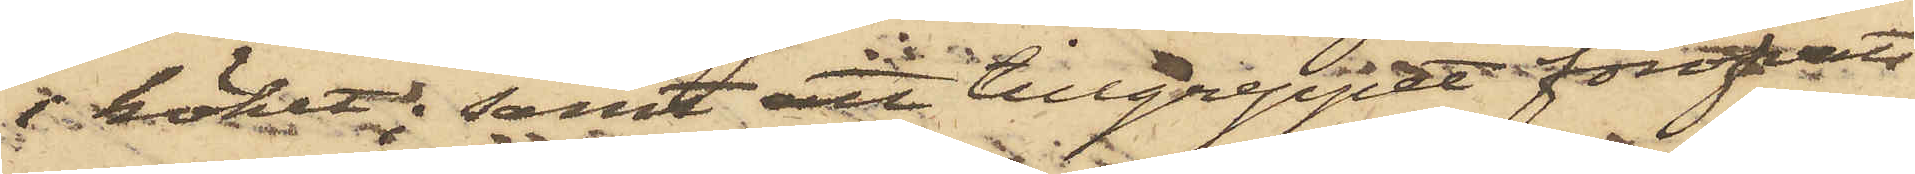i köket; samt att tillgreppet föröfvats
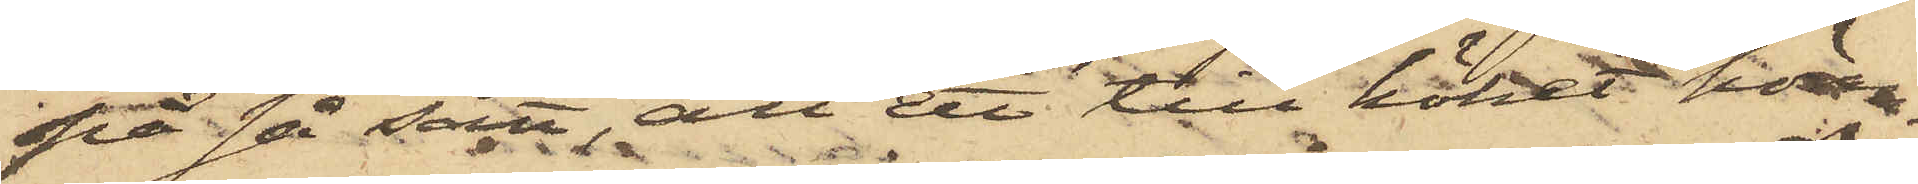på så sätt, att ett till köket höran¬
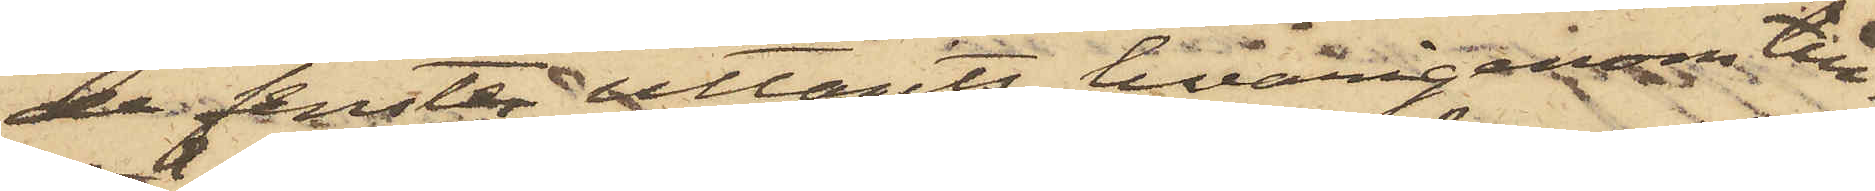de fenster uttagits, hvarigenom till¬
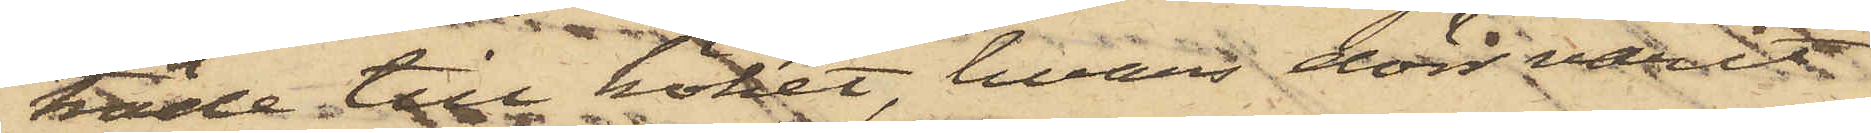träde till köket, hvars dörr vatit
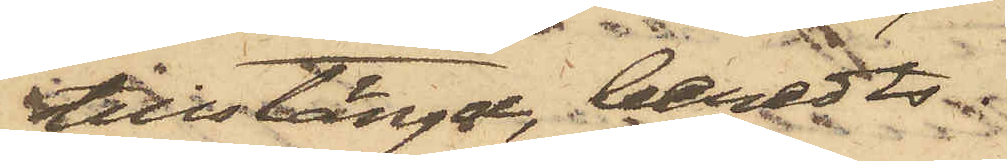tillstängd, beredts.
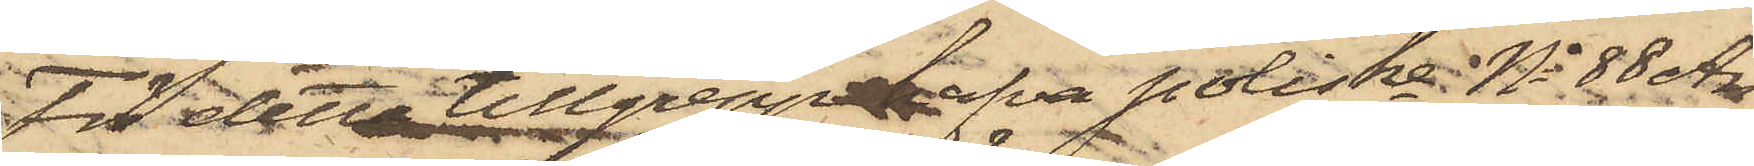För detta tillgrepp hafva Poliskl No 88 Ar¬
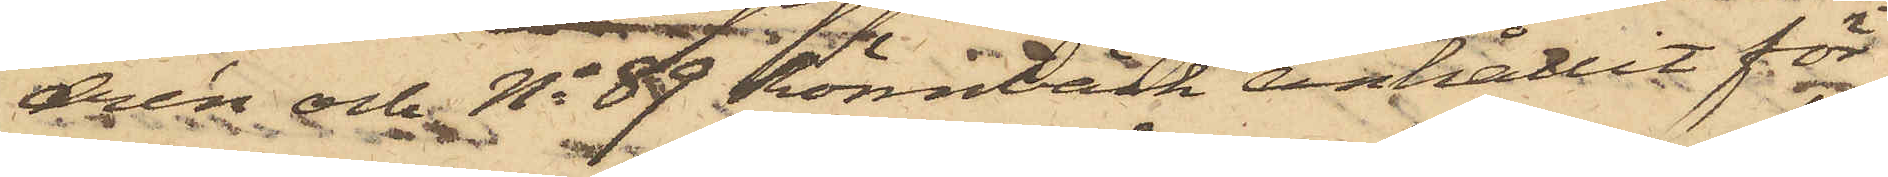drén och No 89 Rönnbäck anhållit för
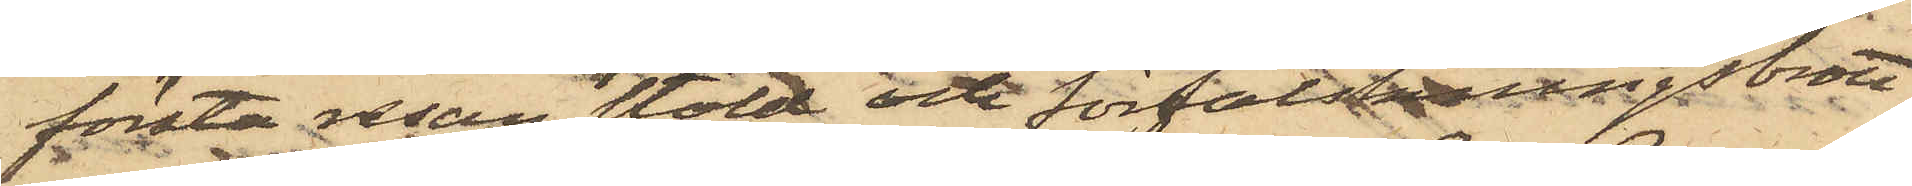första resan stöld och förfalskningsbrott
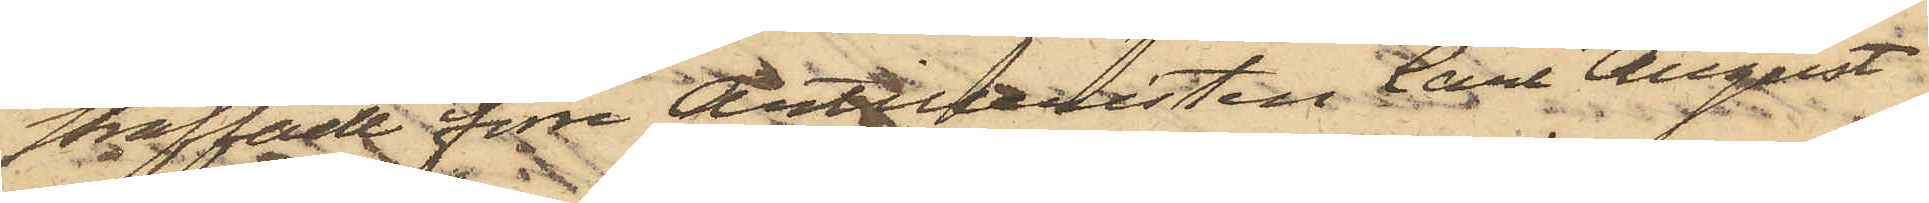straffade före Artilleristen Carl August
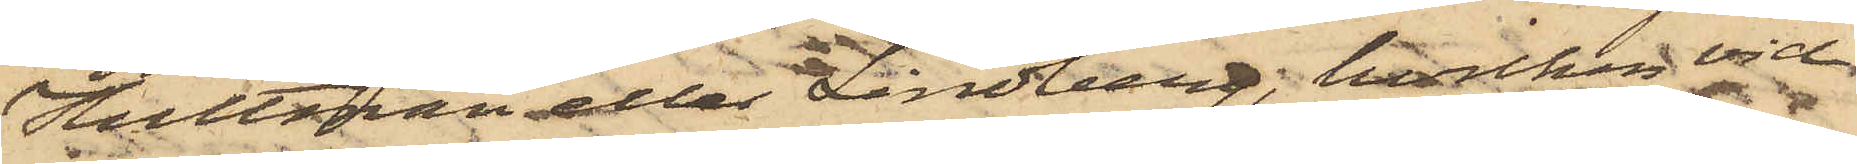Hultman eller Lindberg, hvilken vid
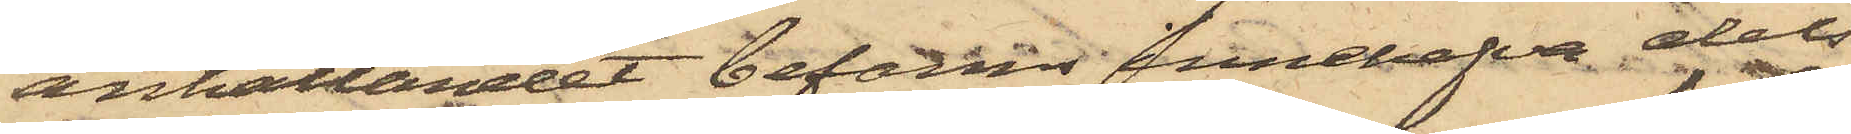anhållandet befanns innehafva dels
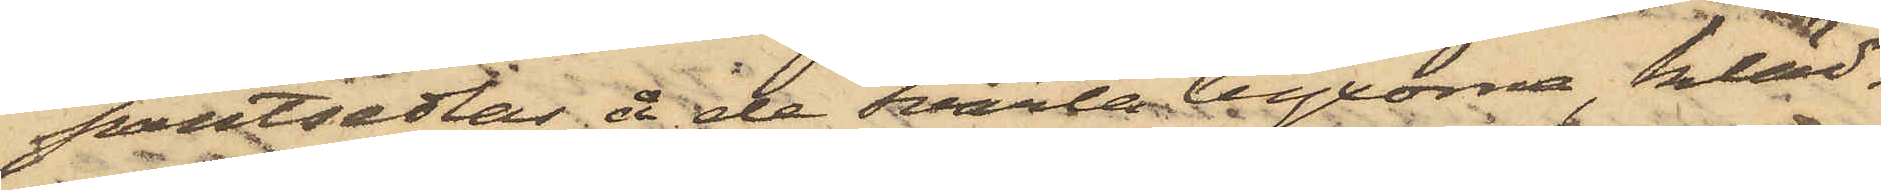pantsedlar å de svarta byxorna, kläd¬
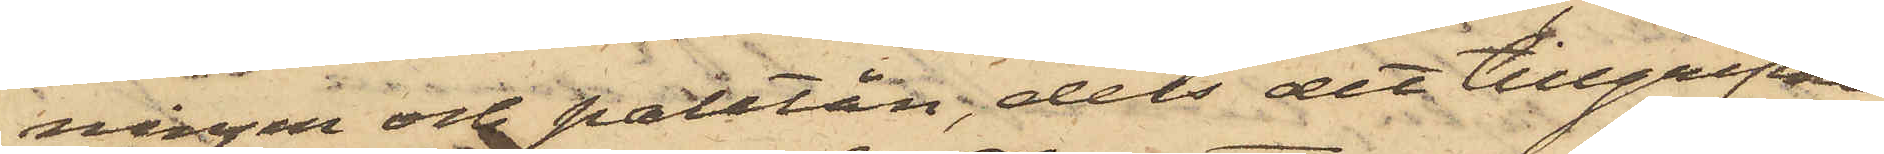ningen och patetån, dels det tillgripne
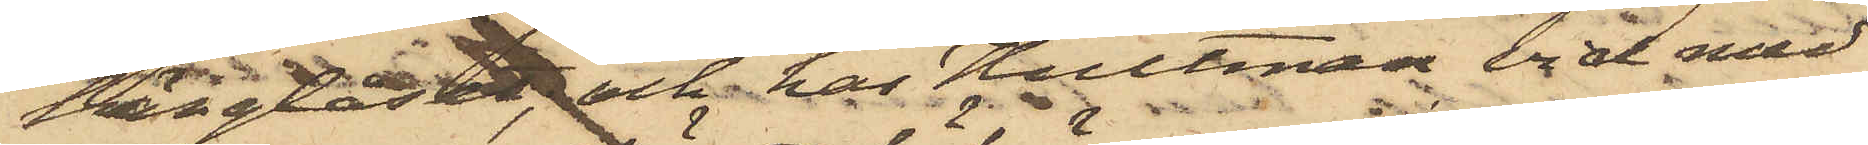hänglåset, och har Hultman vid med
